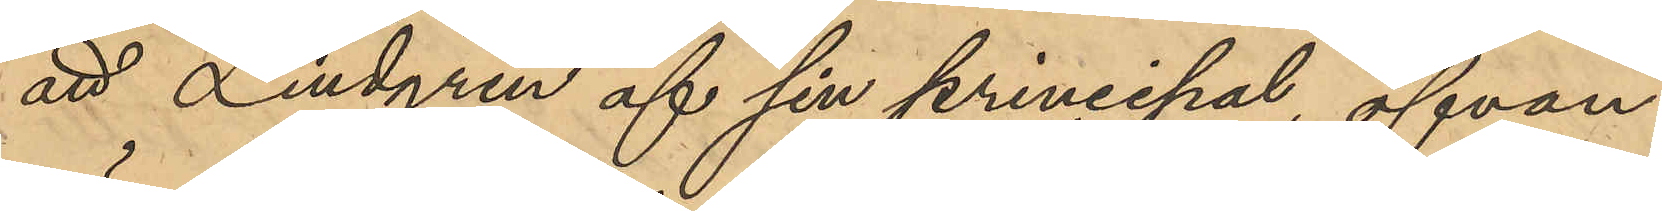att Lindgren af sin principal, ofvan¬
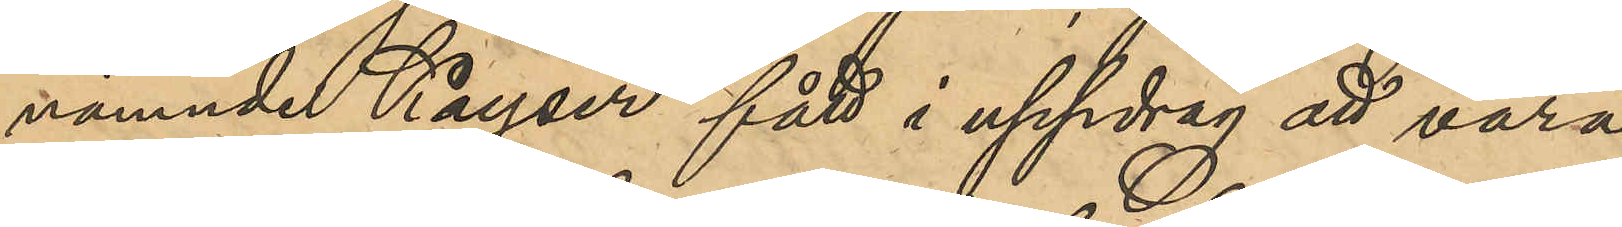nämnde Kayser fått i uppdrag att vara
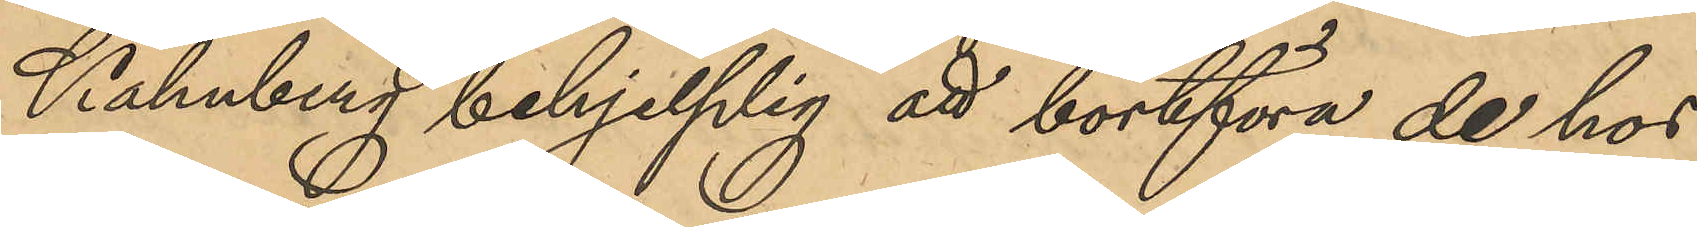Kahnberg behjelplig att bortföra de hos
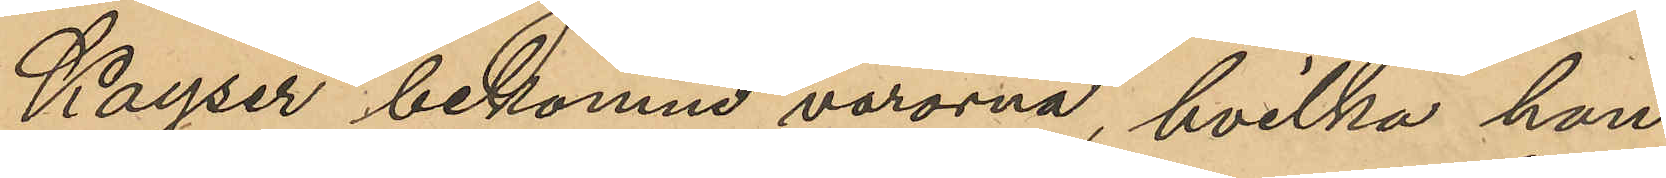Kayser bekomne varorna, hvilka han
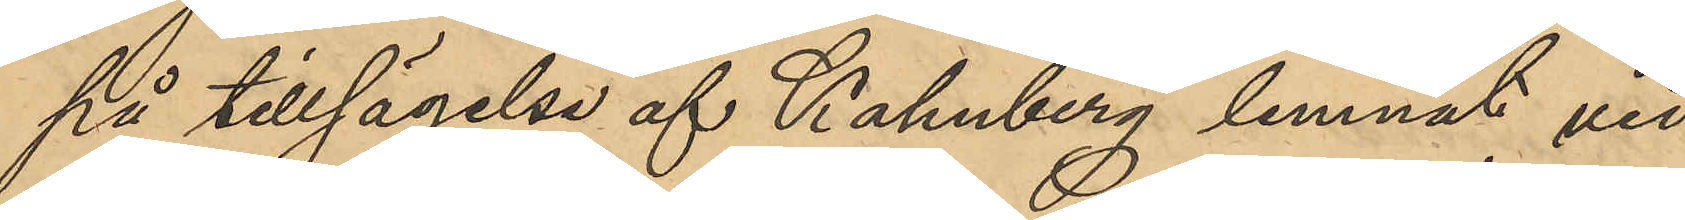på tillsägelse af Kahnberg lemnat vid
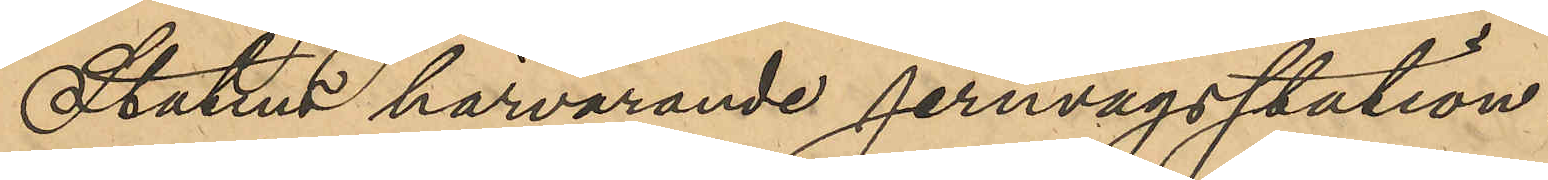Statens härvarande jernvägsstation.
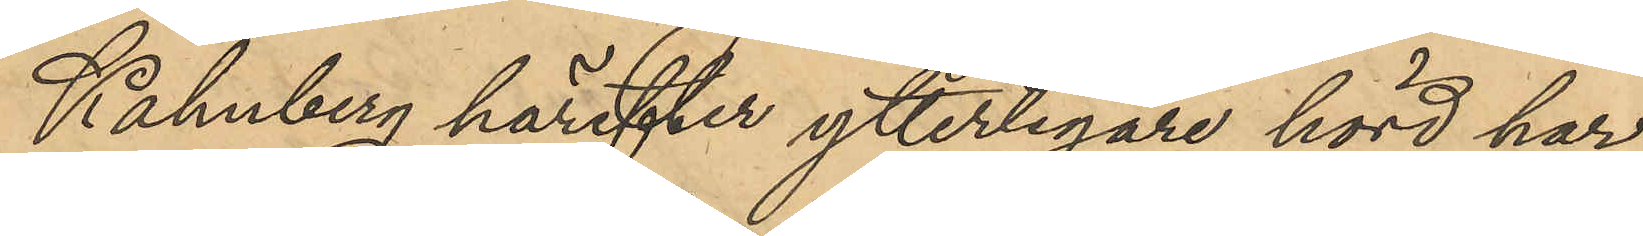Kahnberg härefter ytterligare hörd har
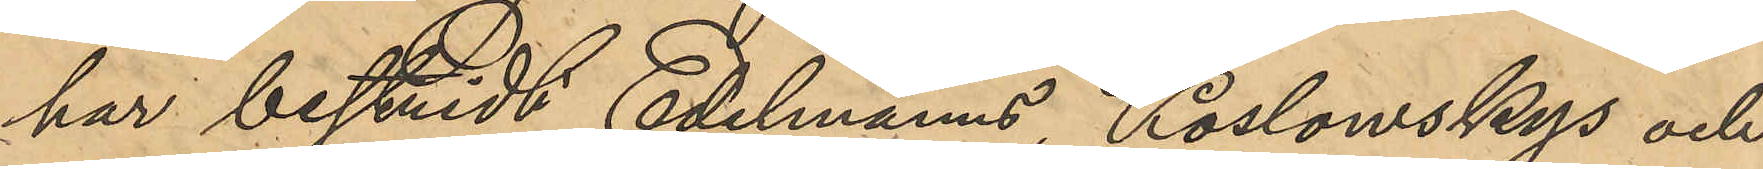har bestridt Edelmans, Koslowskys och
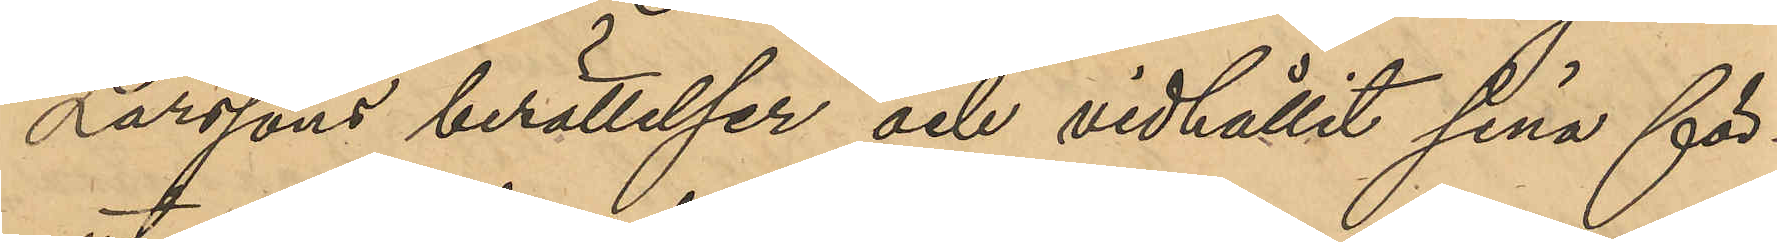Larssons berättelser och vidhållit sina för¬
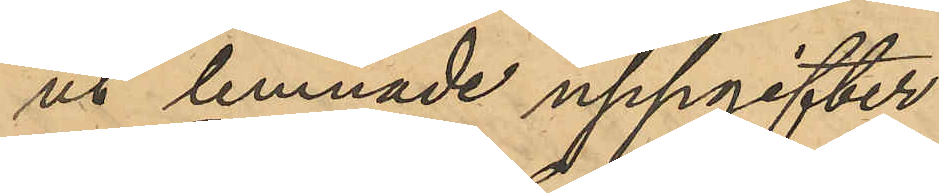ut lemnade uppgifter.
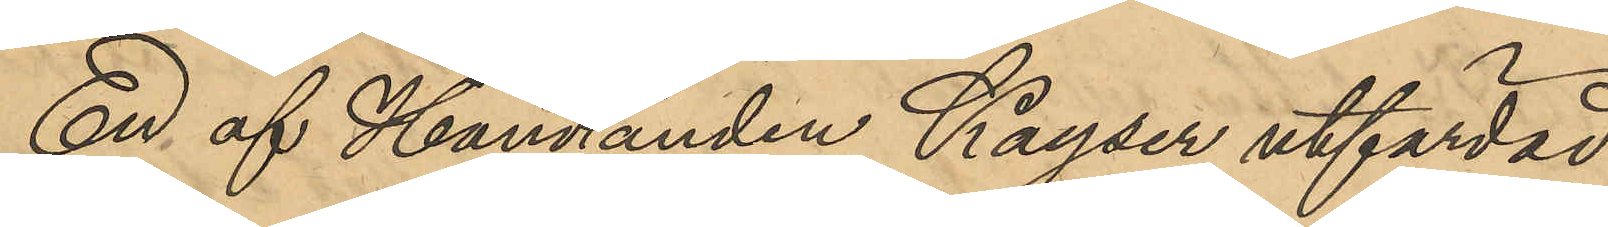En af Handlanden Kayser utfärdad
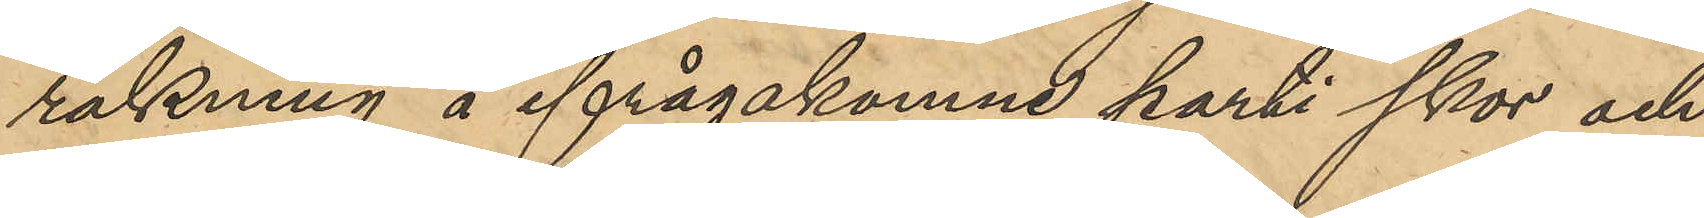räkning å ifrågakomne parti skor och
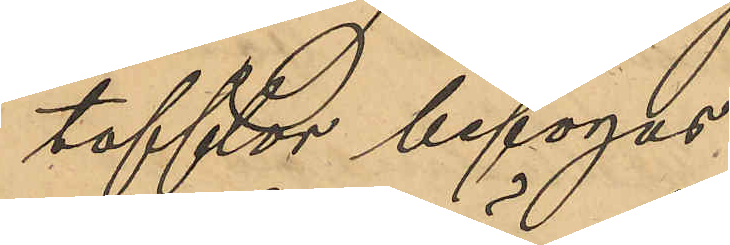tofflor bifogas.
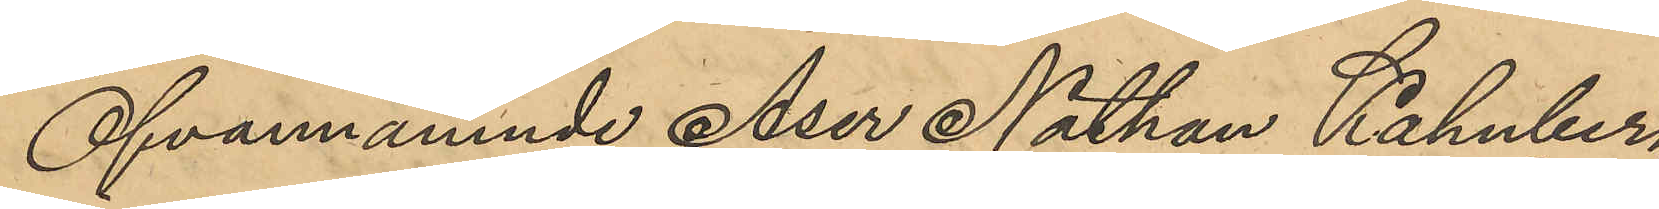Ofvannämnde Aser Nathan Kahnberg
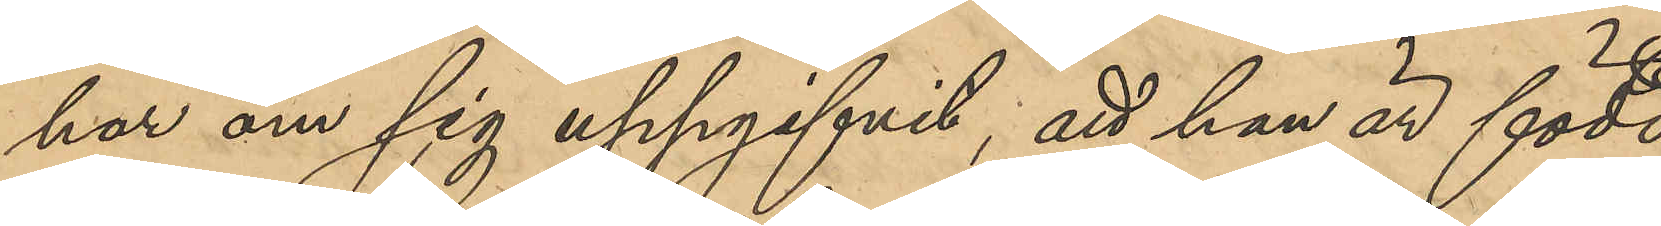har om sig uppgifvit, att han är född
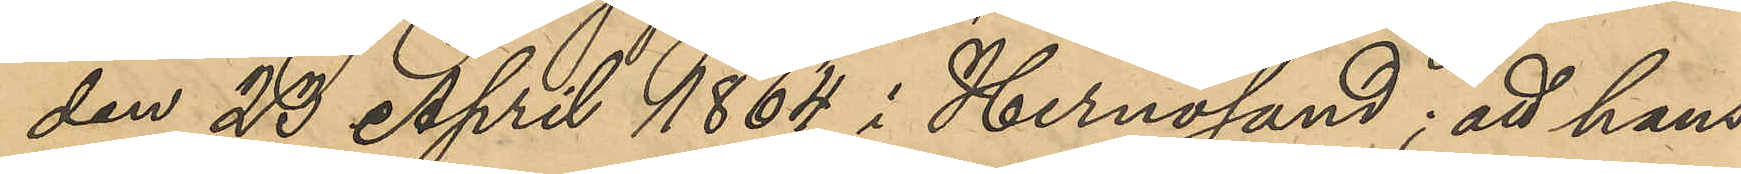den 23 April 1864 i Hernösand; att hans
